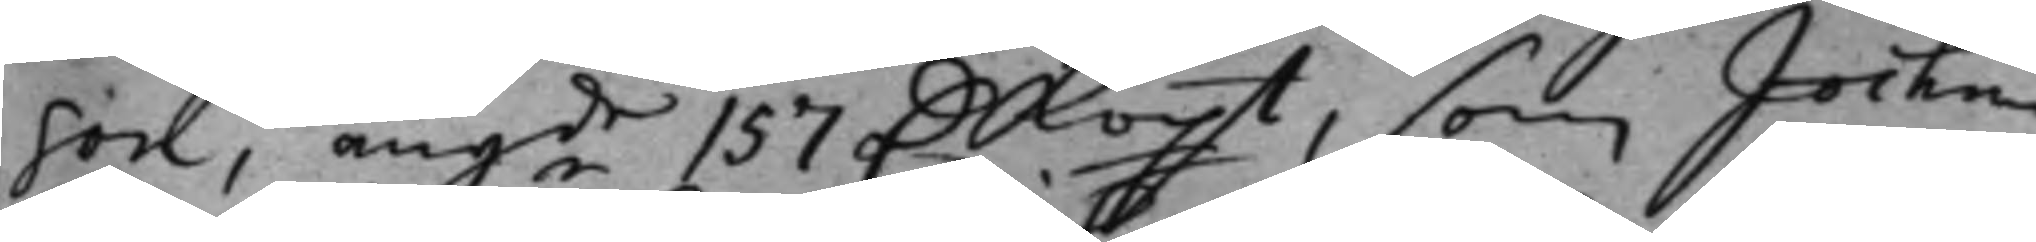son, angde 157 D.kopt, som Jochim¬
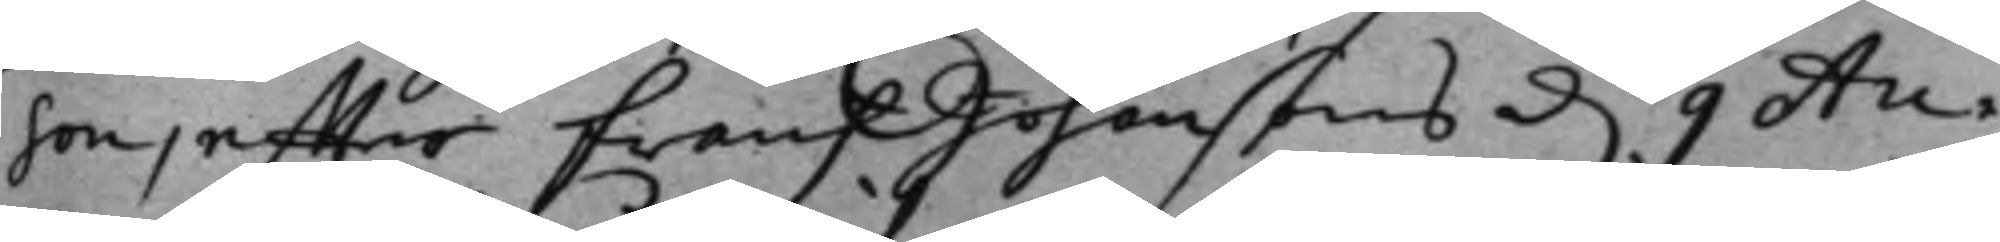son effter frans Johanssons d. 9 Au¬
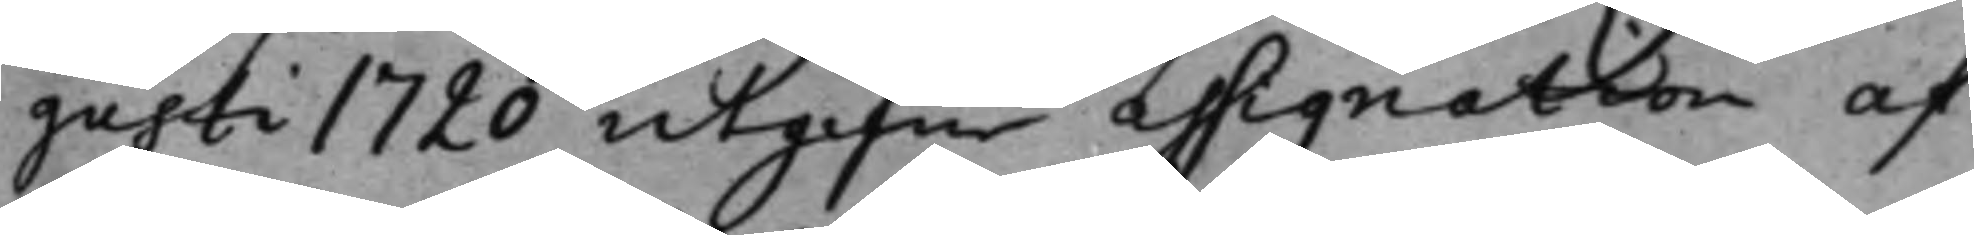gusti 1720 utgifn assignation af
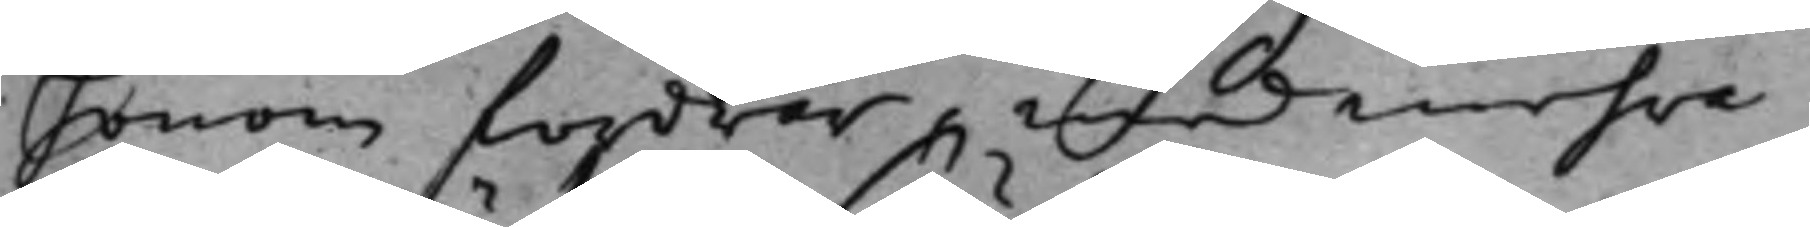honom fordrar, med mehra.
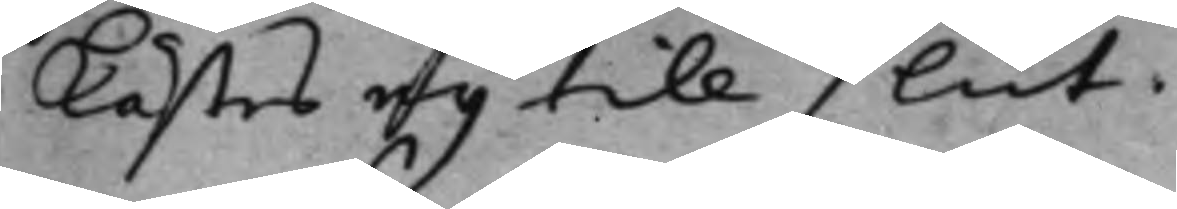lästes eij till slut.
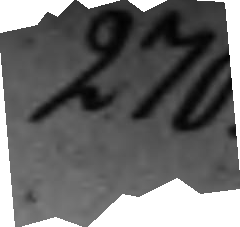270.
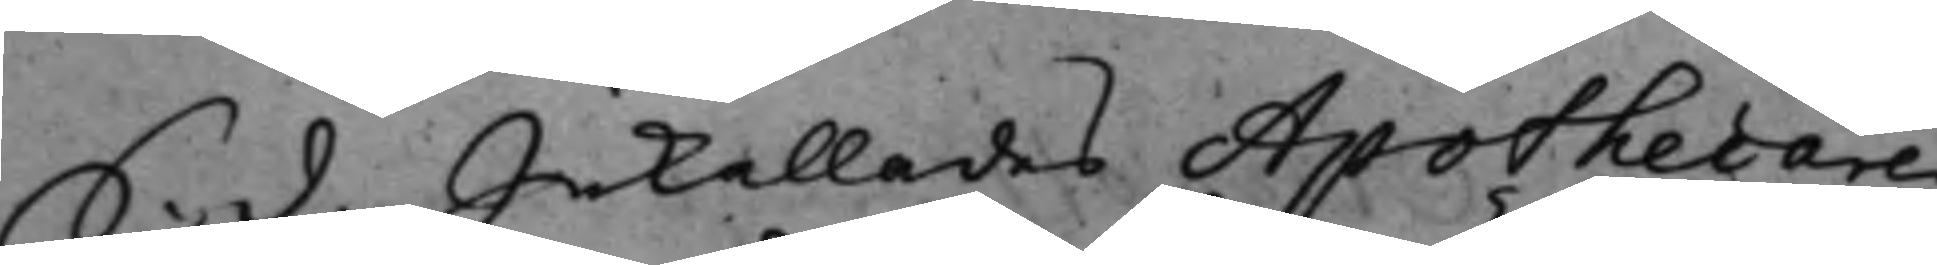S. d. Inkallades Apothecaren
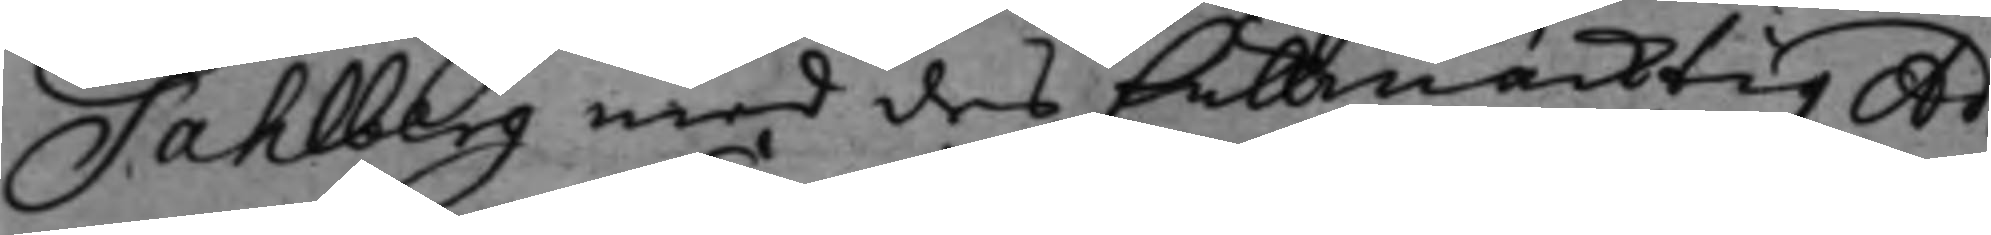Fahlberg med des fullmäcktig Ad¬
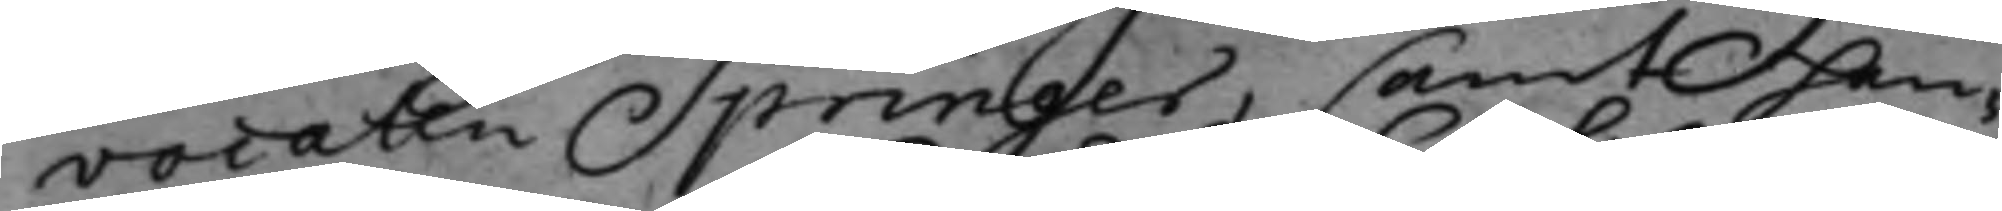vocaten Springer, samt han¬
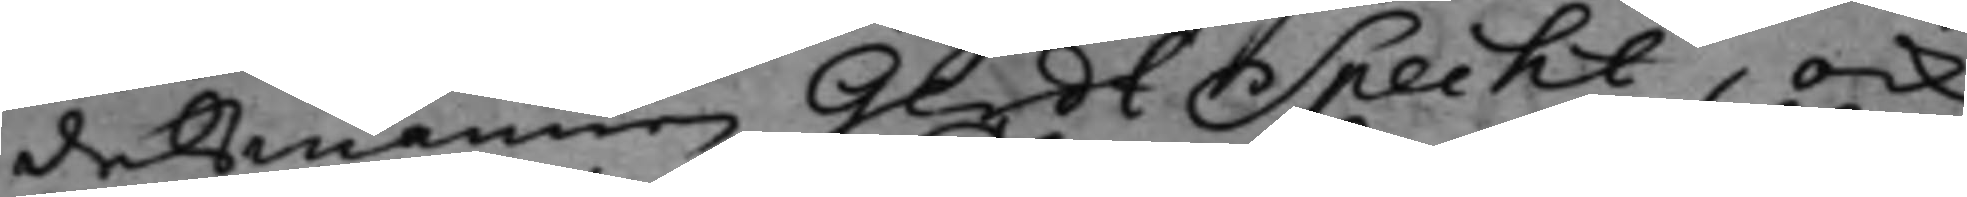delsmannen Gerdt Specht, ock
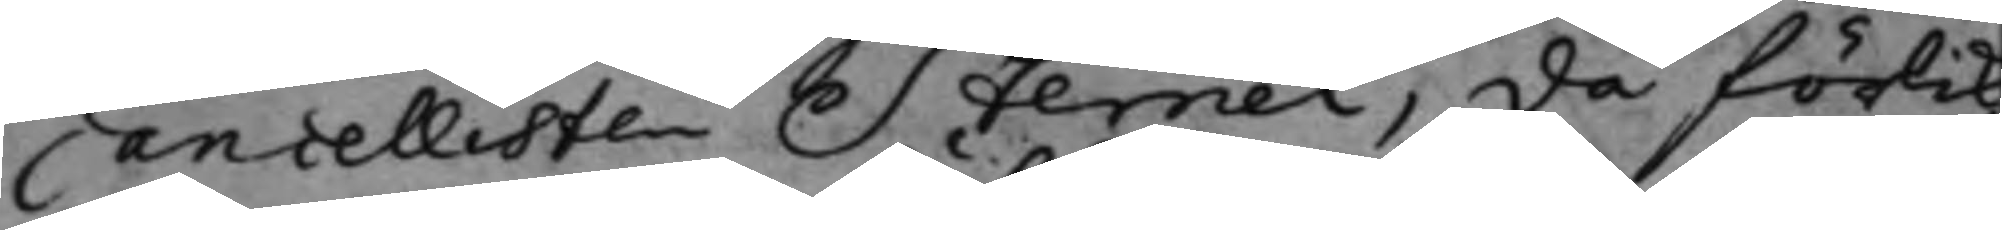Cancellisten Sternel, då förlik¬
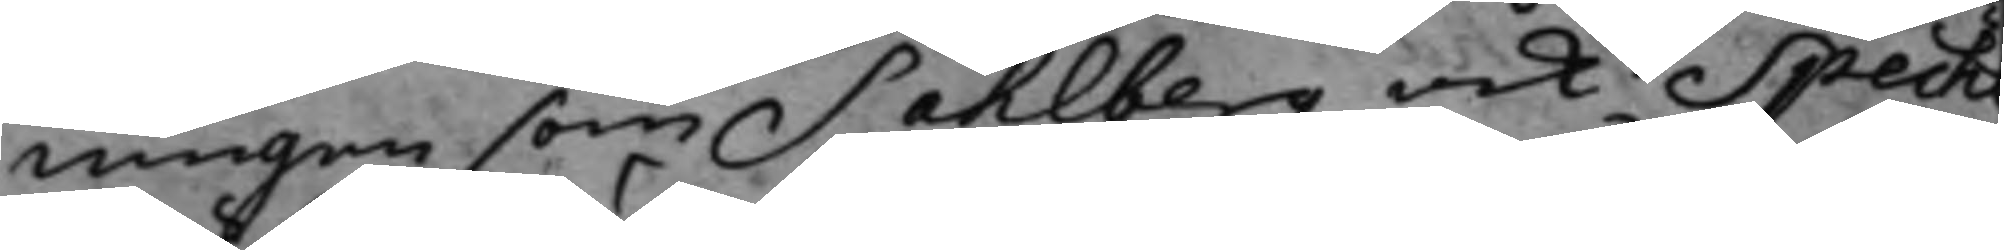ningen som Sahlberg och Spech
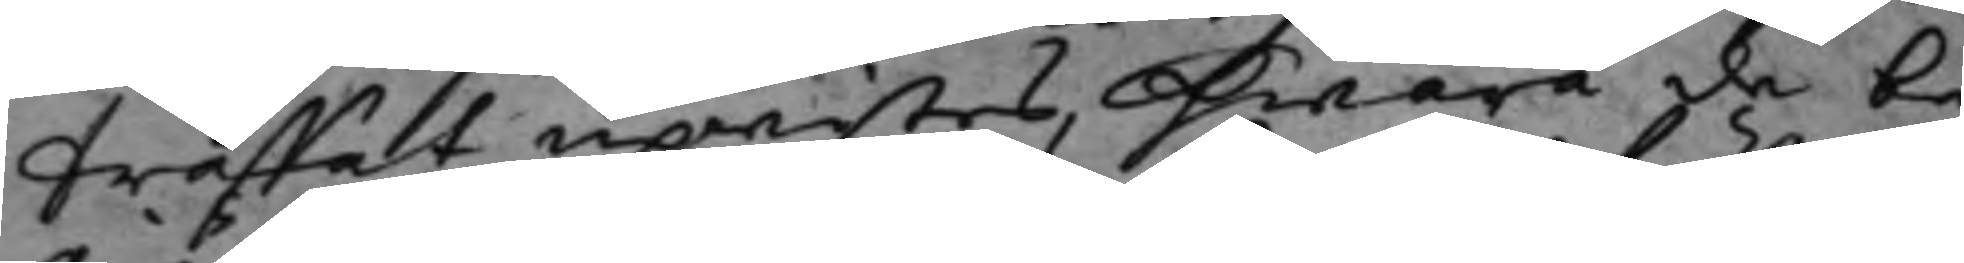träffat upwistes, hwarå de be¬
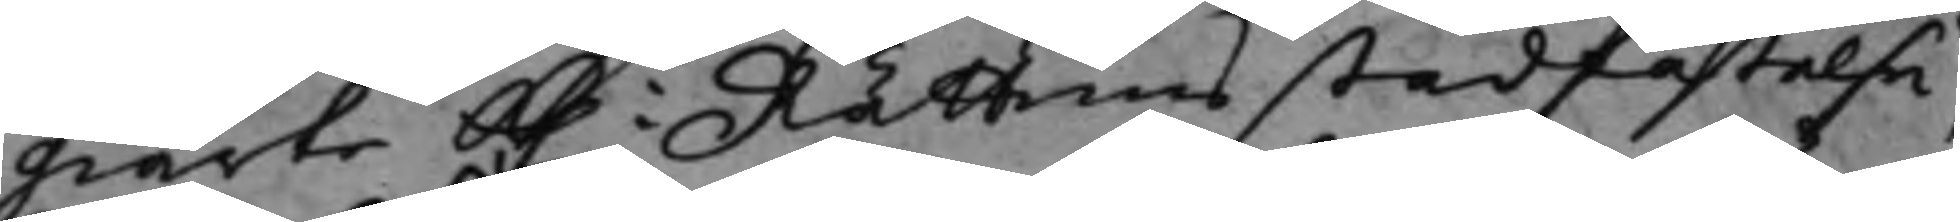giärte K. Rättens stadfästelse,
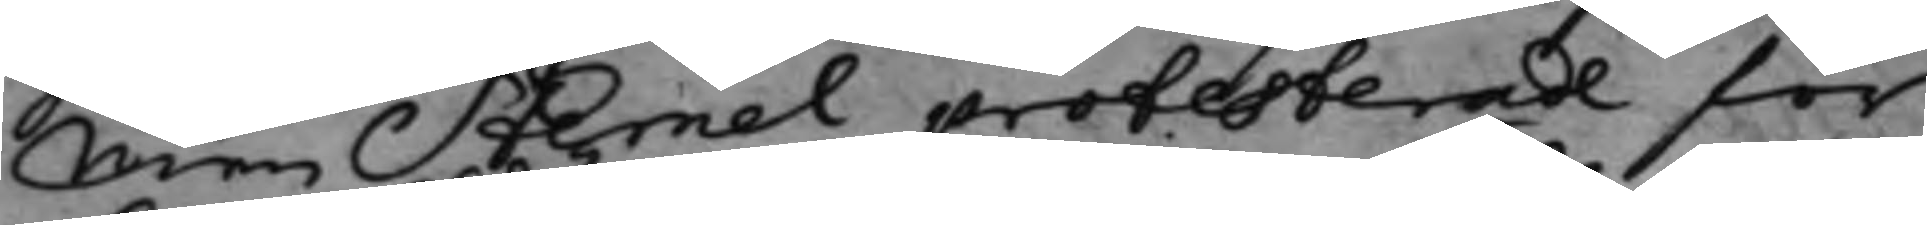Men Sternel protesterade för
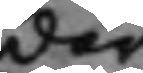där
